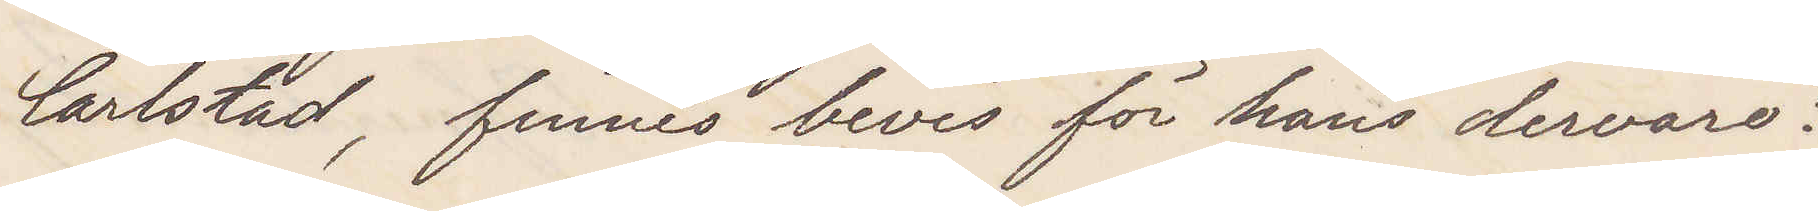Carlstad, finnes bevis för hans dervaro?
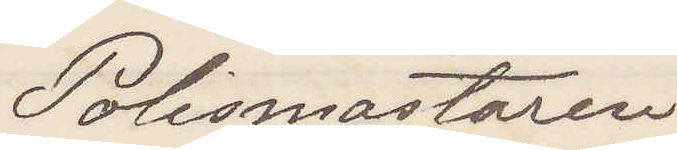Polismästaren.
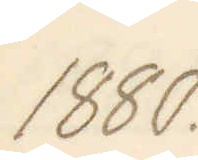1880.
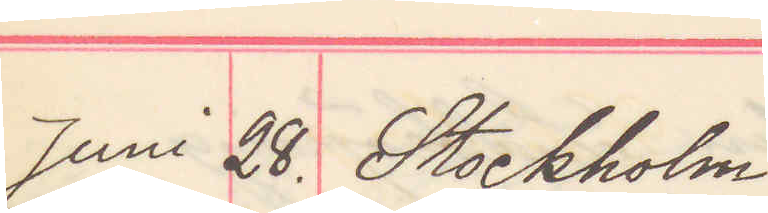Juni 28. Stockholm
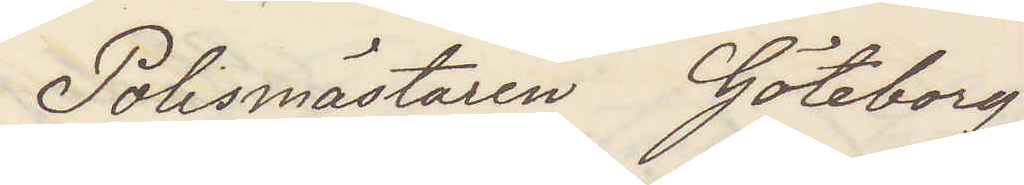Polismästaren Göteborg
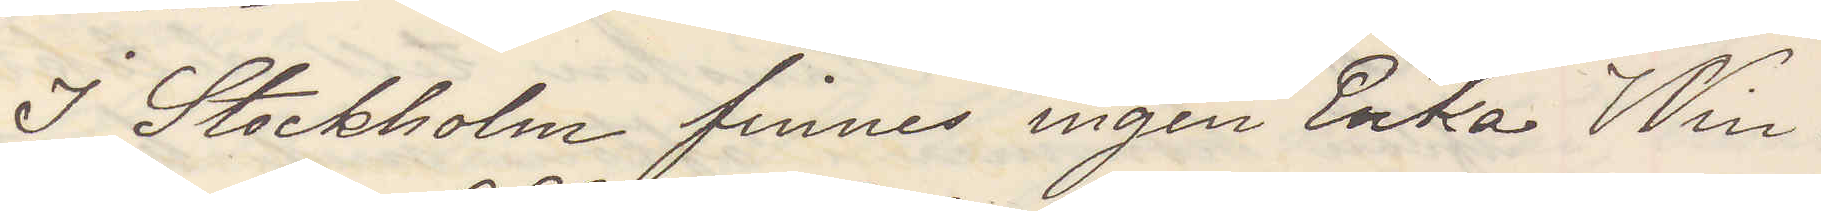I Stockholm finnes ingen Enka Win¬
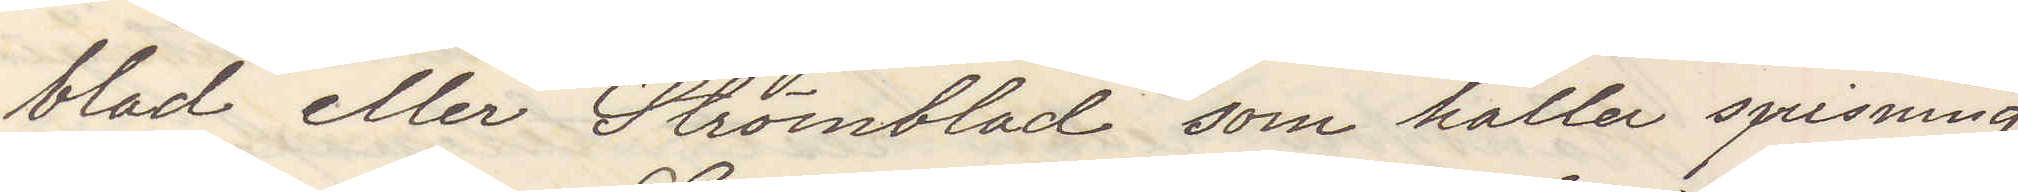blad eller Strömblad som håller spisning.
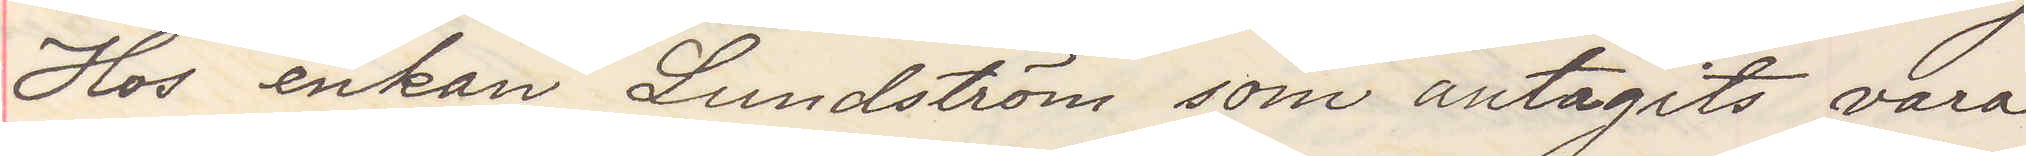Hos enkan Lundström som antagits vara
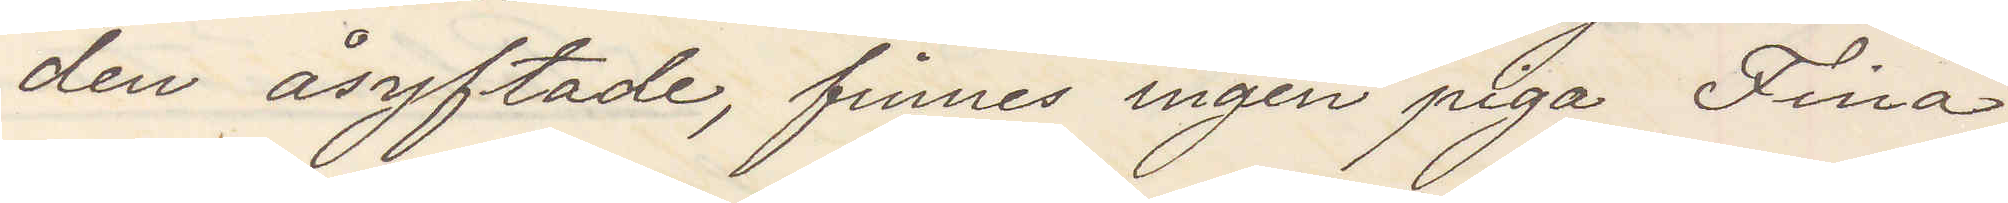den åsyftade, finnes ingen piga Fina
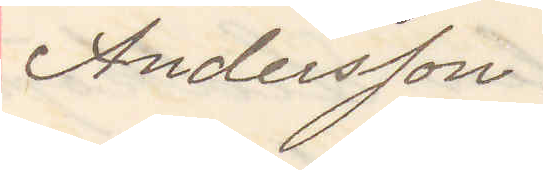Andersson.
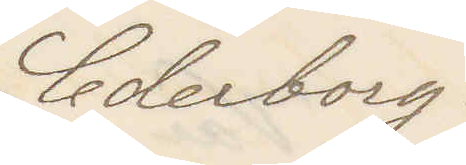Cederborg.
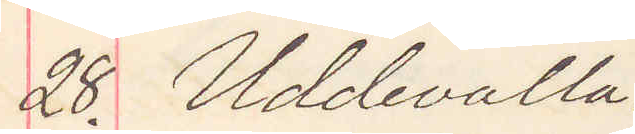28. Uddevalla.
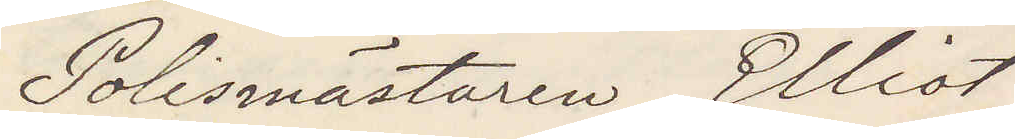Polismästaren Elliot
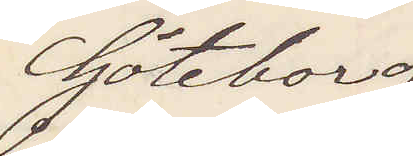Göteborg
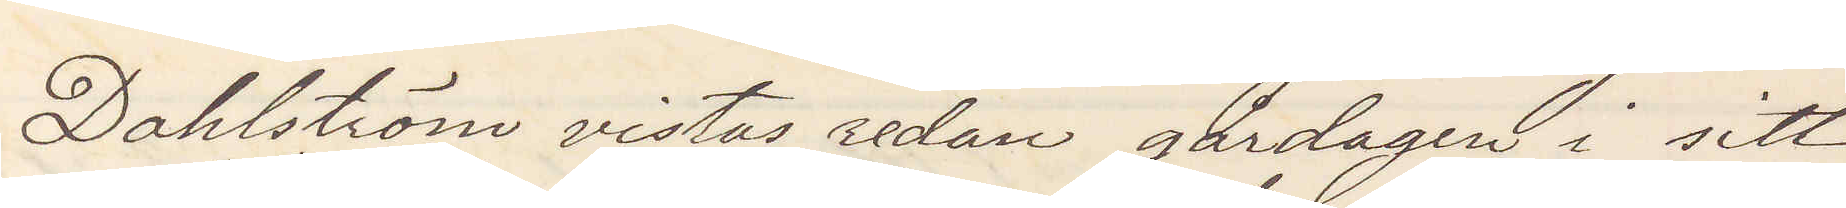Dahlström vistas sedan gårdagen i sitt
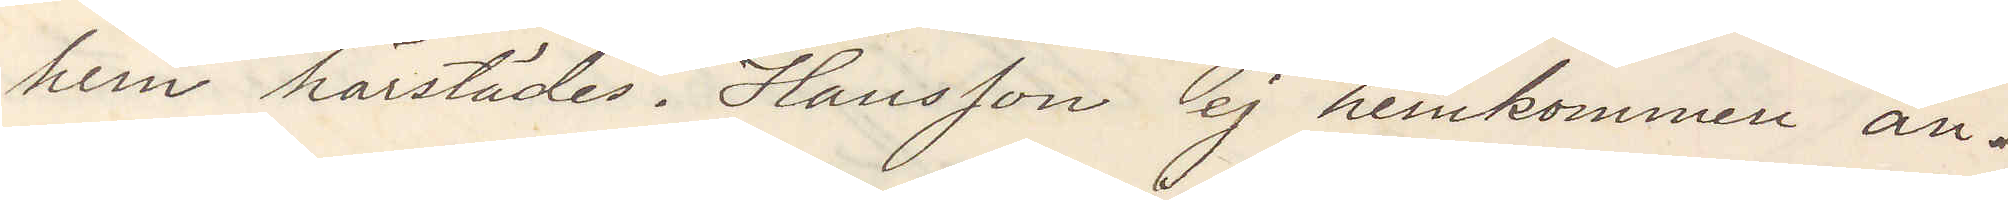hem härstädes. Hansson ej hemkommen än.
